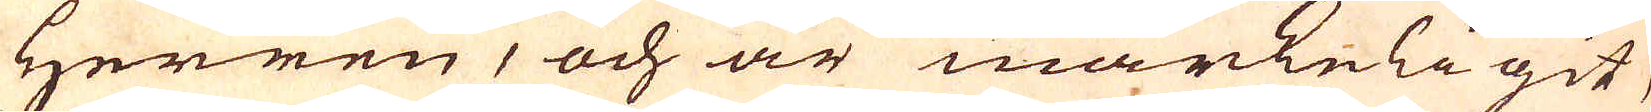Herren, och är märckeligit,
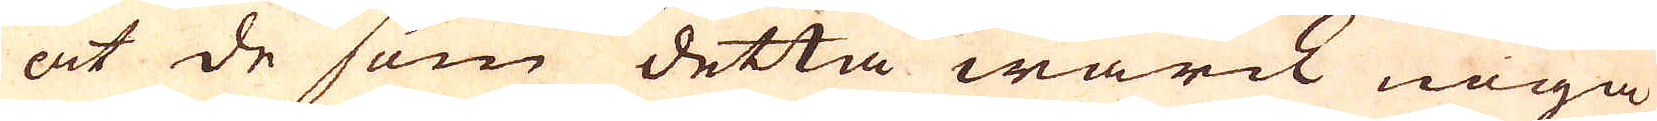at de som detta wärck noga
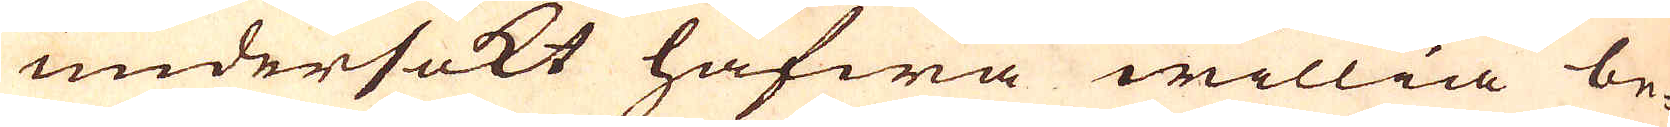undersökt hafwa willia be-
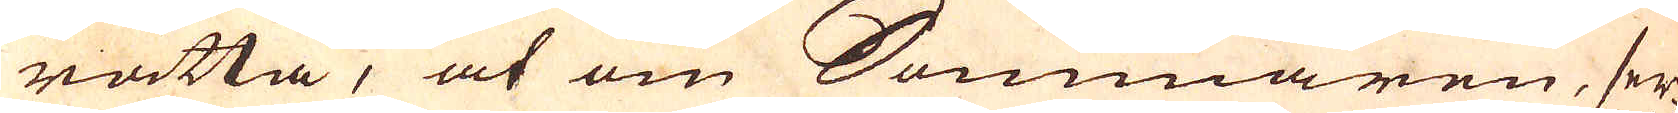rätta, at om Sommaren, ser-
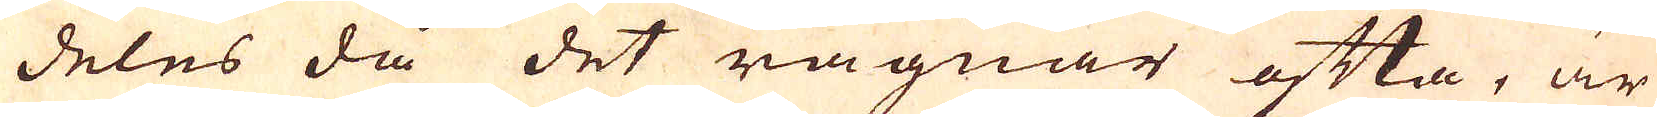deles då det rägnar ofta, är
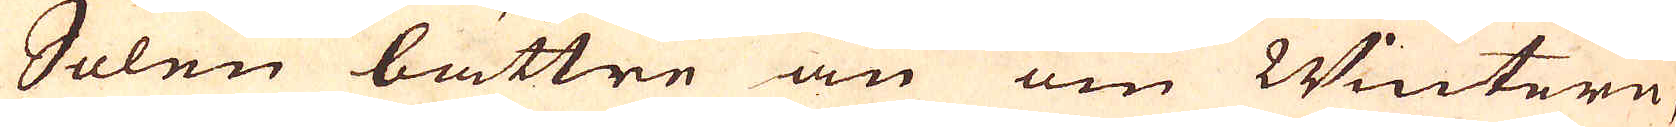Solen bättre än om Wintern,
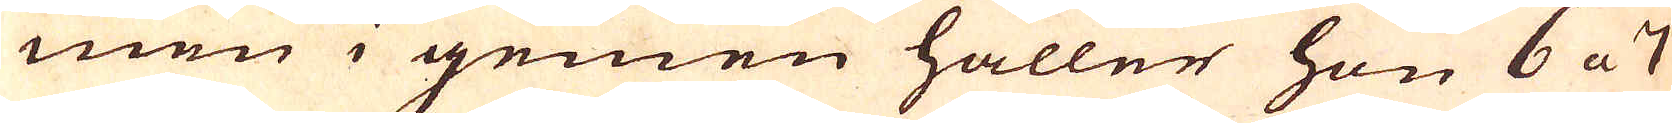men i gemen håller hon 6 a 7
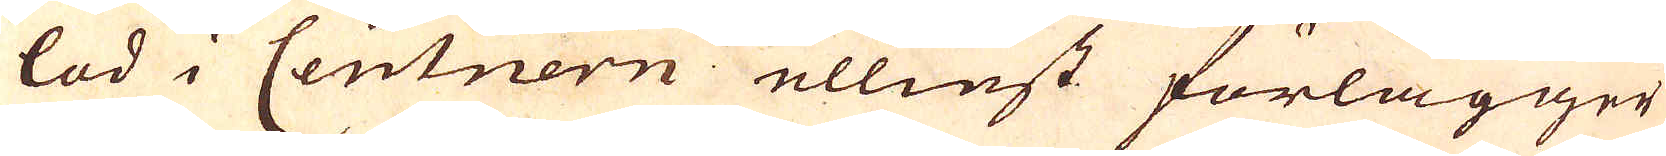lod i Centnern ellinst förlägger
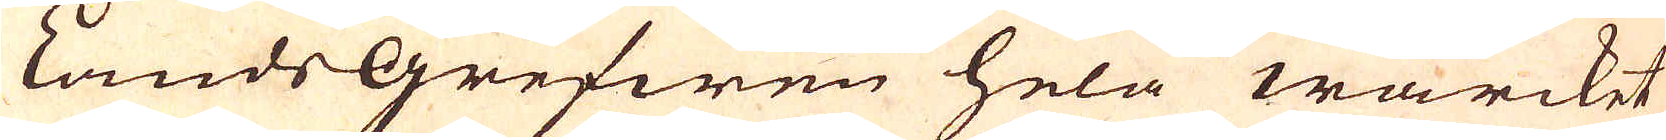LandsGrefwen hela wärcket
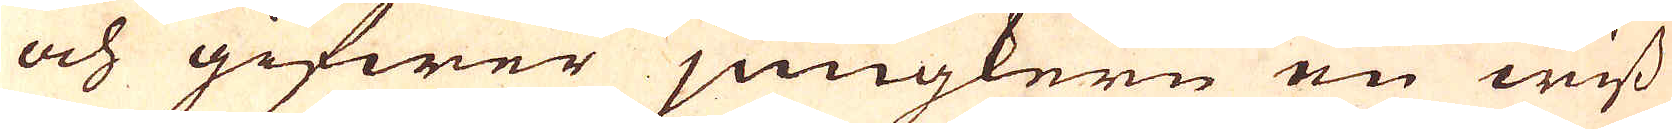och gifwer jungkern en wiss
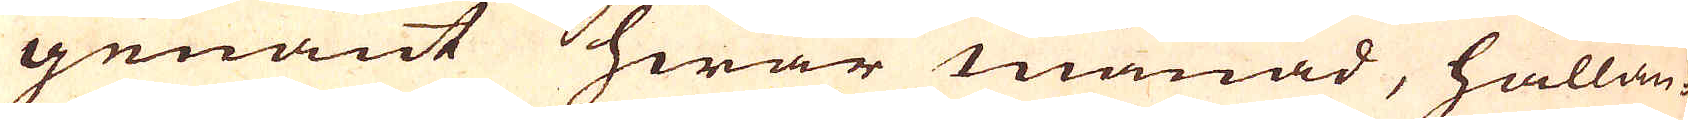genant hwar månad, hållan-
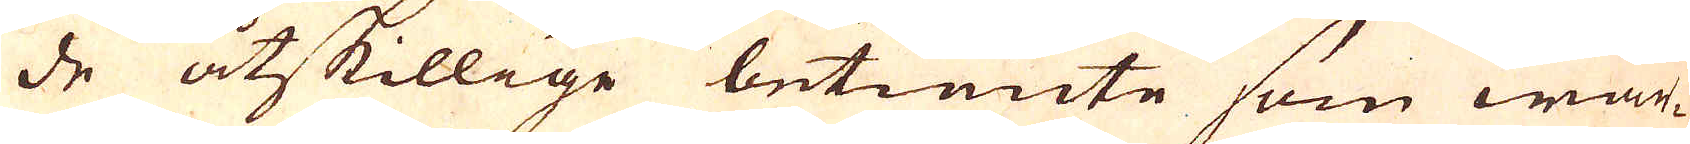de åtskillige betiänte som wär-
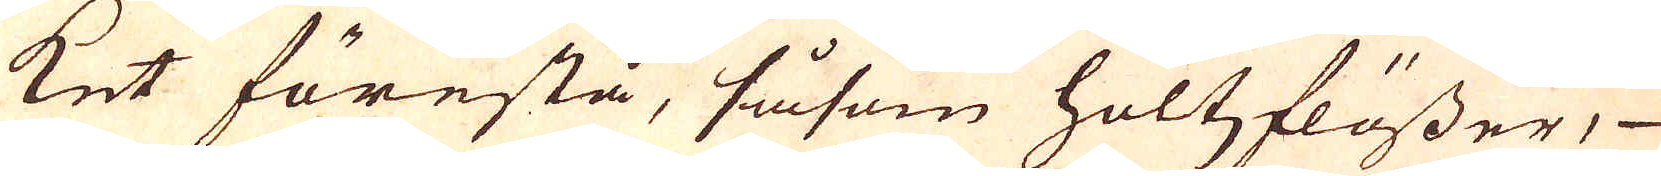ket förestå, såsom holtzflösser,
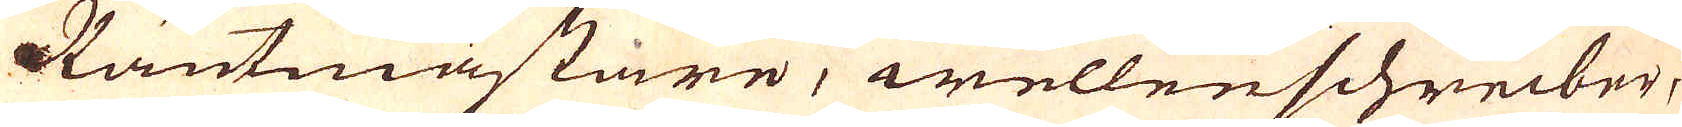Räntmästare, wellenschreiber,
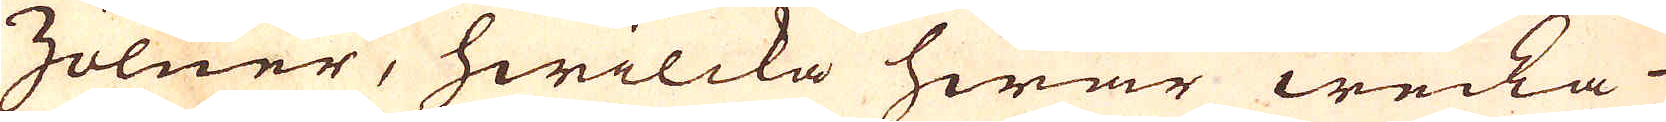Zölner, hwilcka hwar wecka
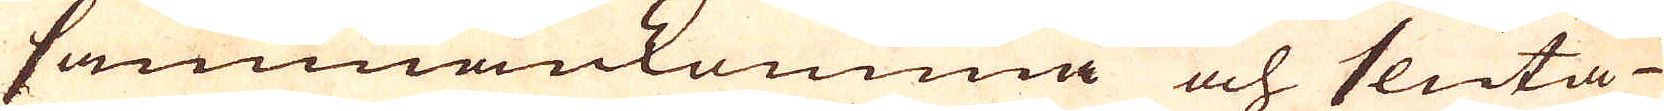sammankomma och sluta
